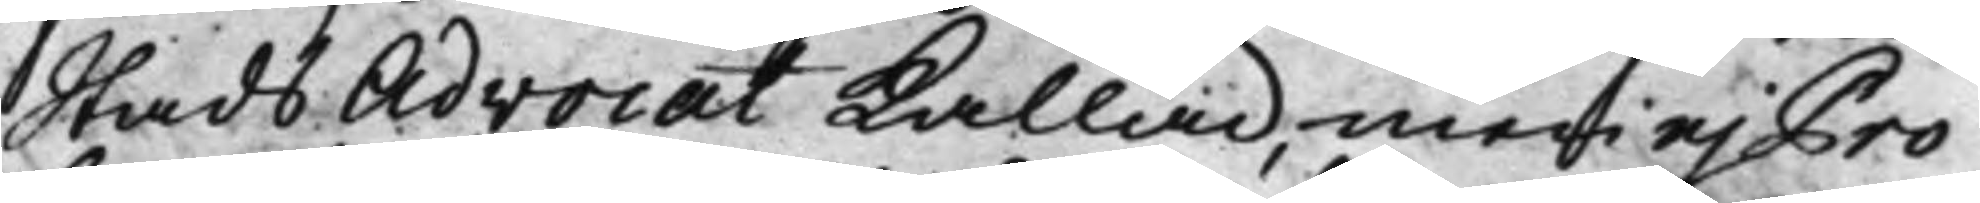Stads Advocat Kallad, men ej Pro¬
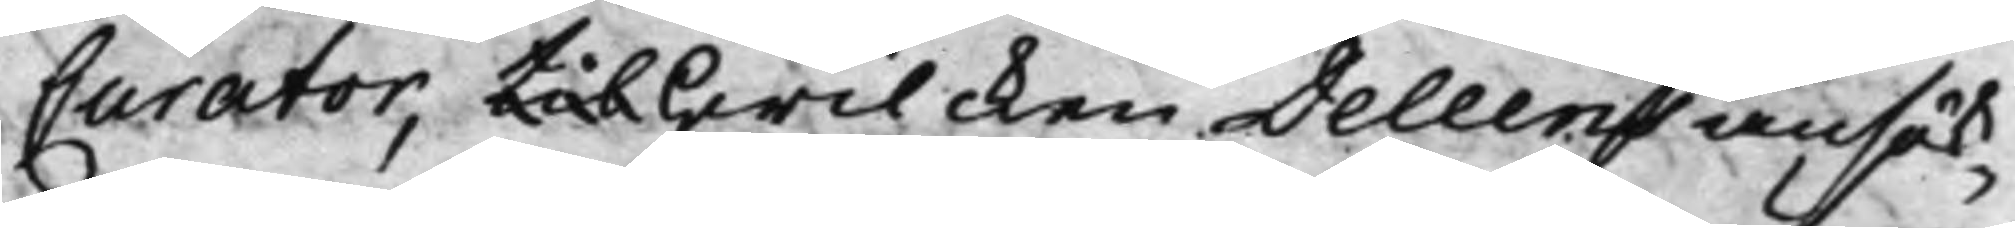Curator, til hwilcken Deleens ansök¬
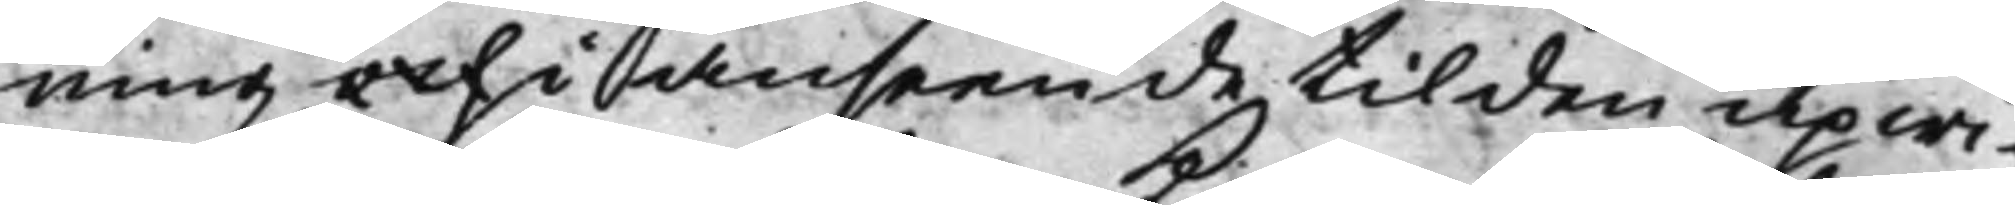ning och i anseende til den upwi¬
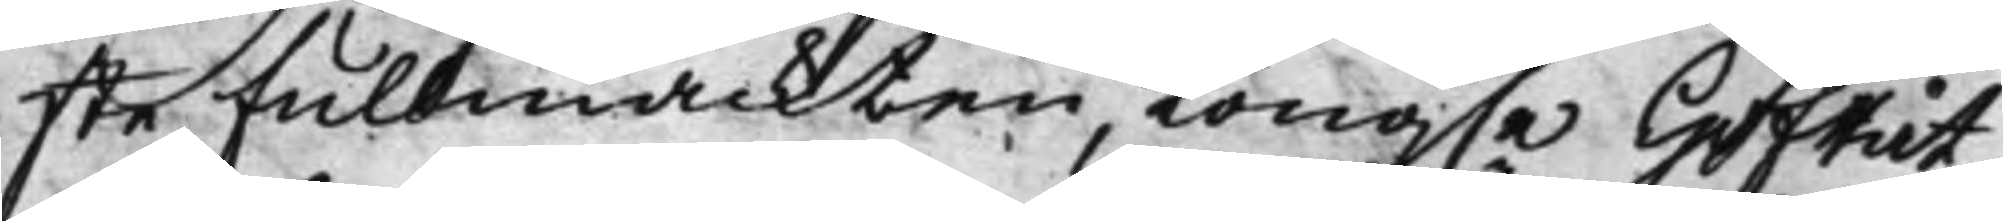ste fullmackten, Kong.e HofRät¬
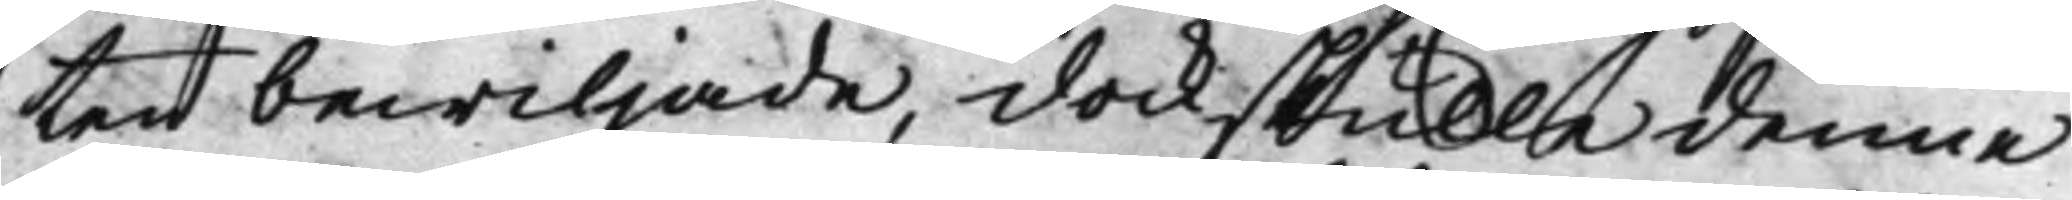ten bewiljade, dock skulle denne
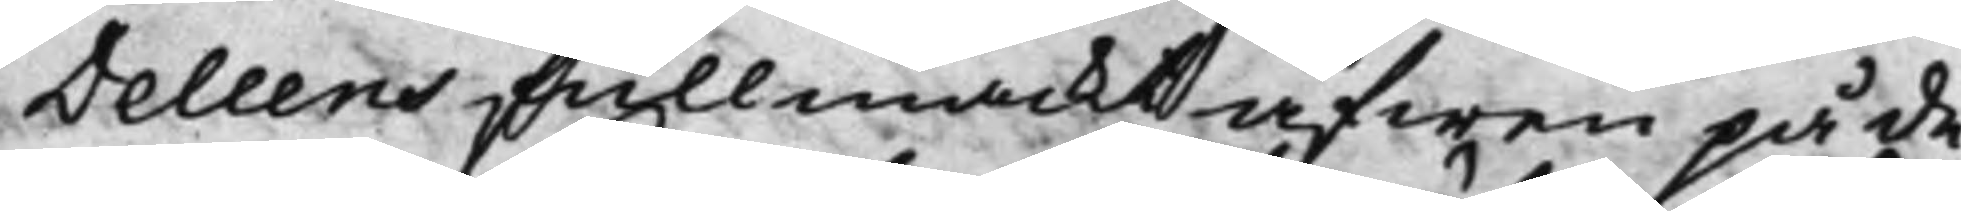Deleens fullmackt äfwen på de
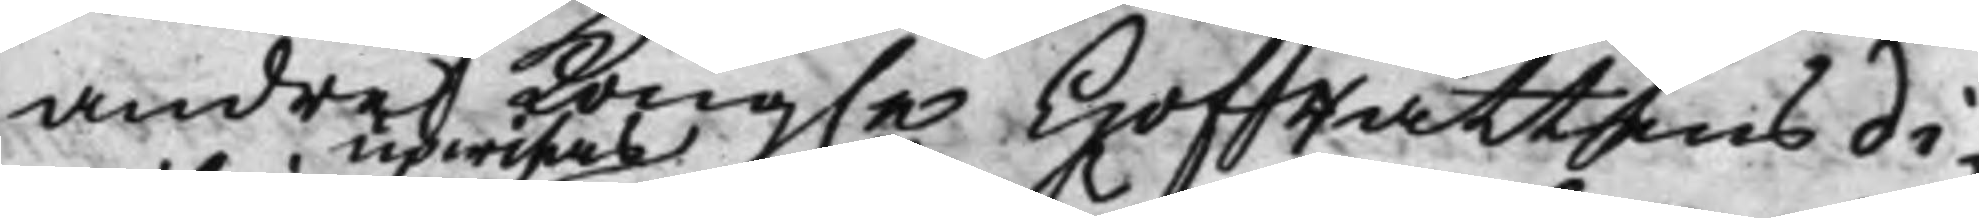andre Kong.e HofRättens di¬
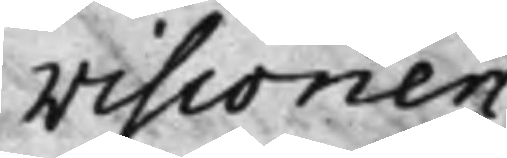visioner
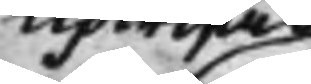upwisas
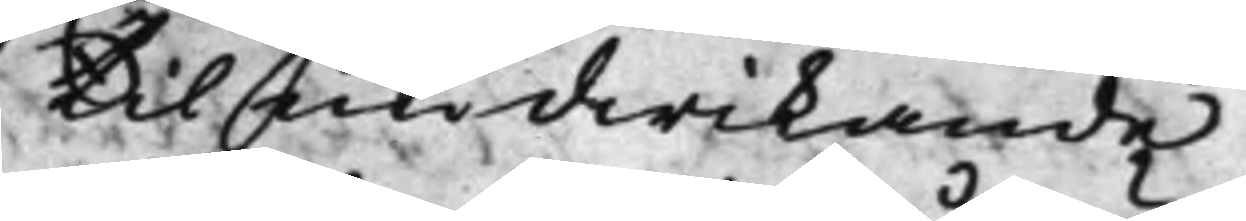, til undwikande
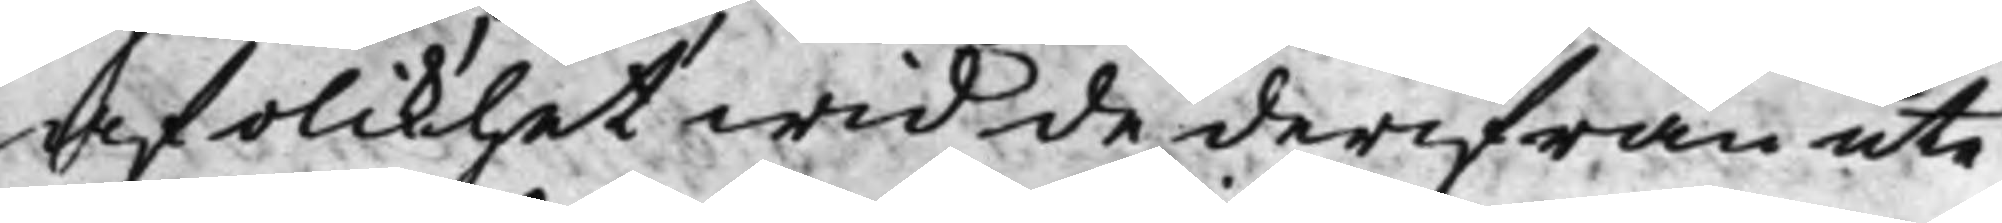af olikhet wid de derifrån ute¬
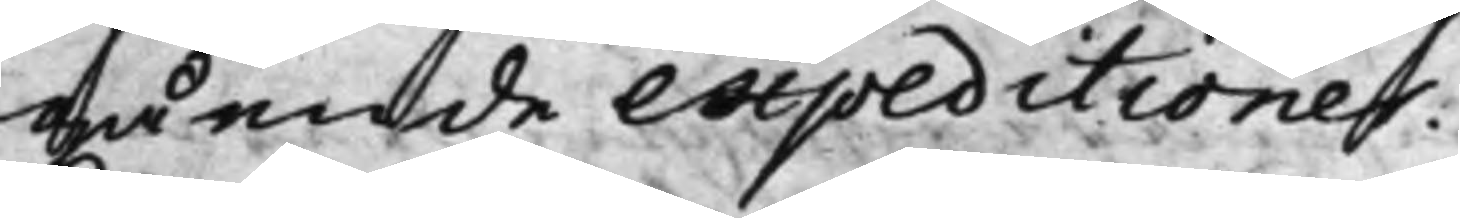gående expeditioner:
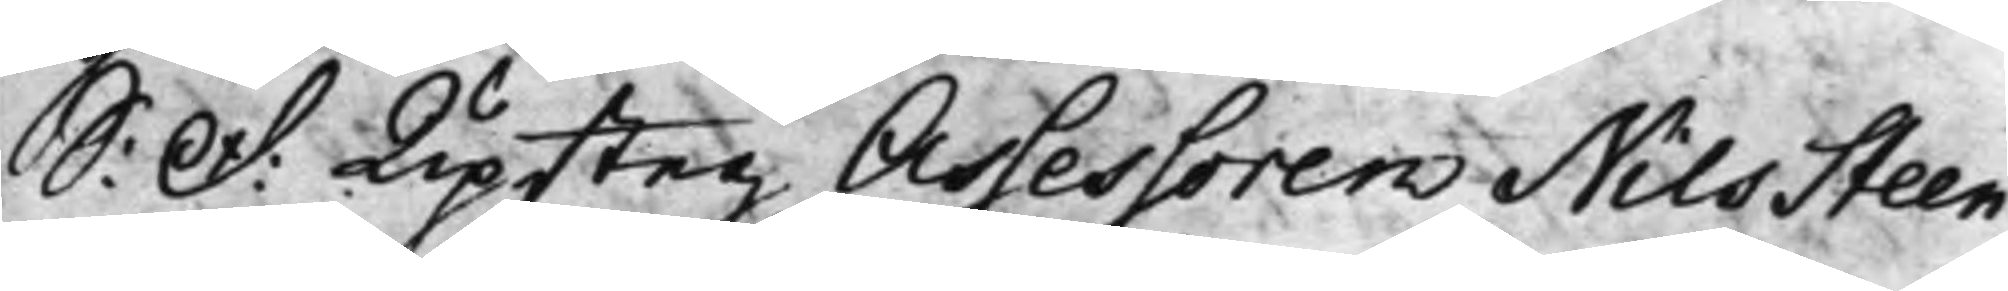S: D: Upsteg Assessoren Nils Steen¬
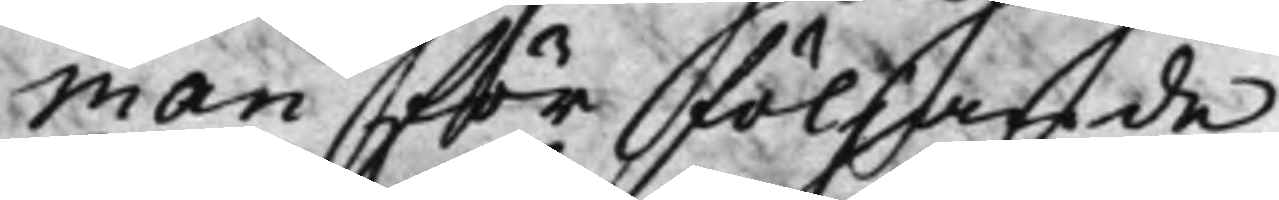man för följande
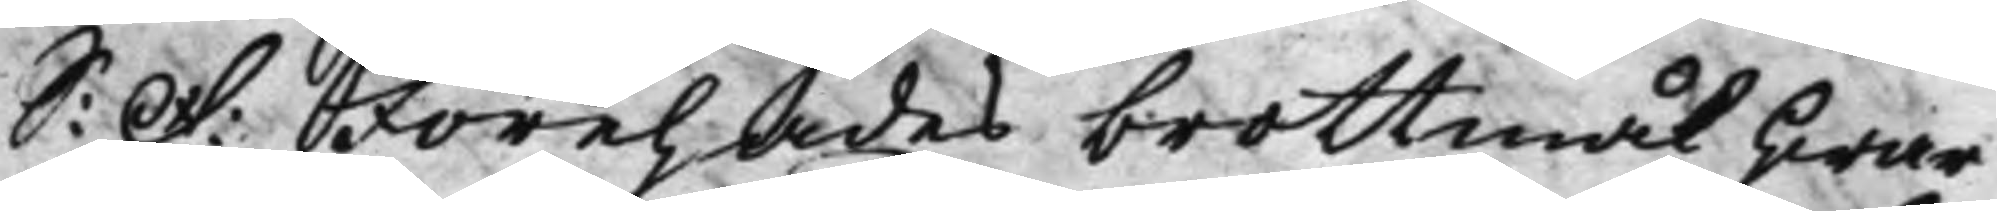S: D: Förehades brottmål hwar¬
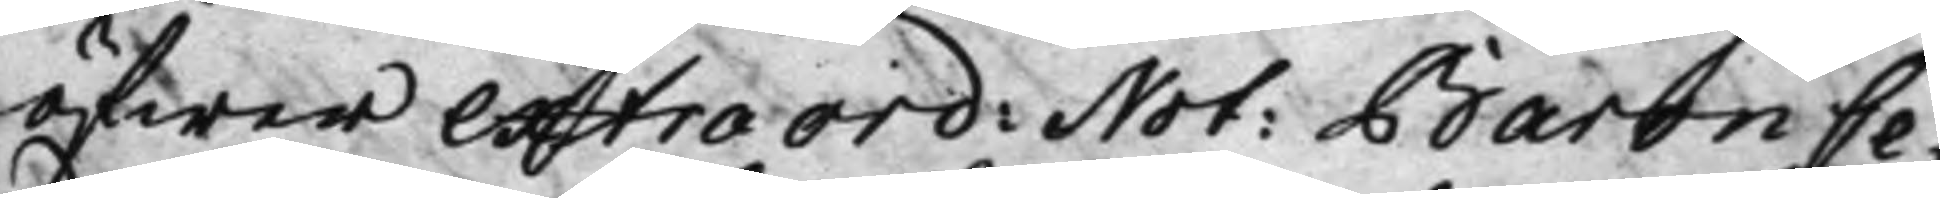öfwer extra ord: Not: Baron Ce¬
